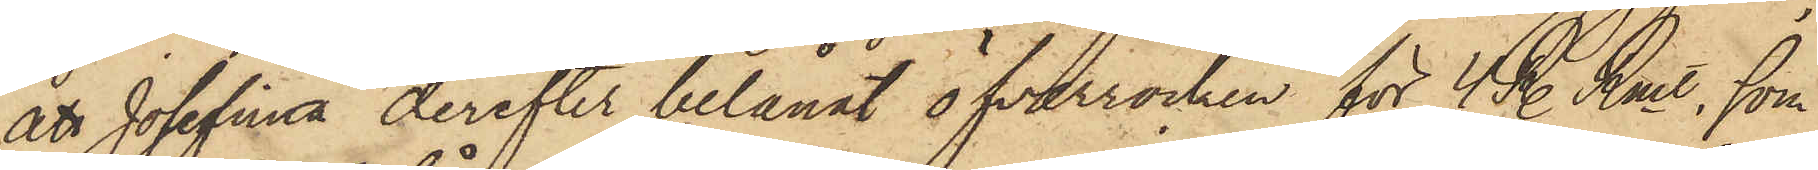att Josefina derefter belånat öfverrocken för 4 R. Rmt, som
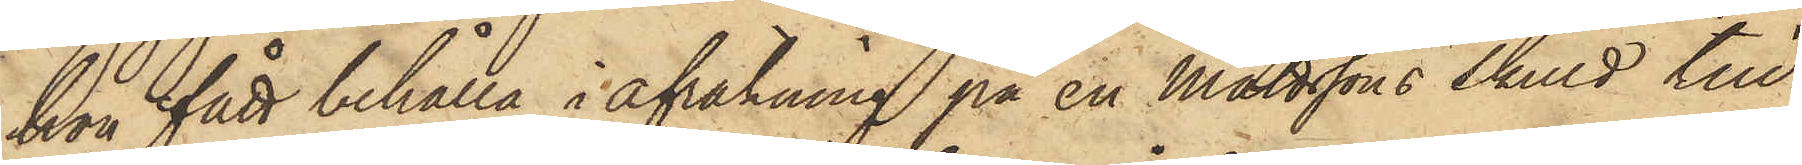hon fått behålla i afräkning på en Mattssons skuld till
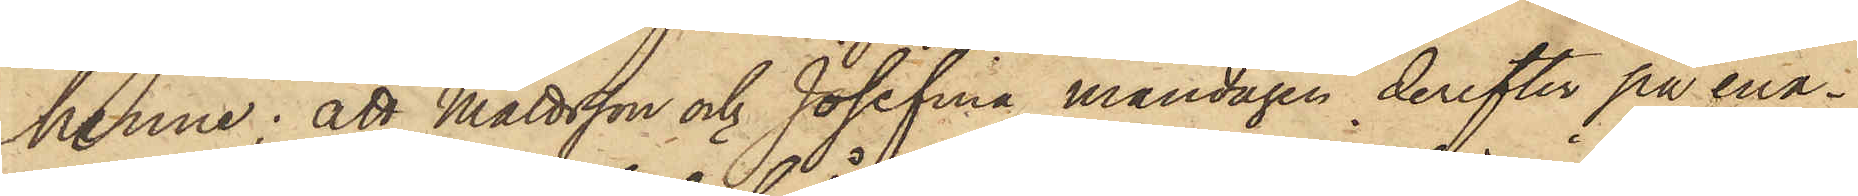henne; att Mattsson och Josefina måndagen derefter på ena¬
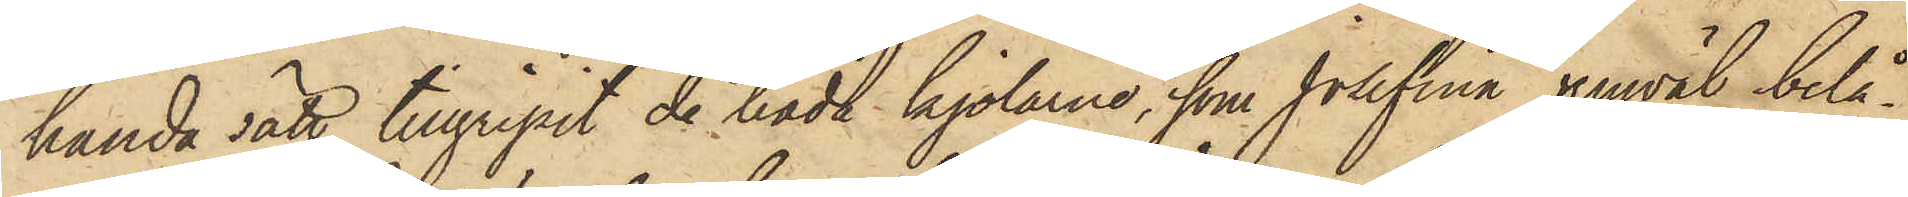handa sätt tillgripit de båda kjolarne, som Josefina jemväl belå¬
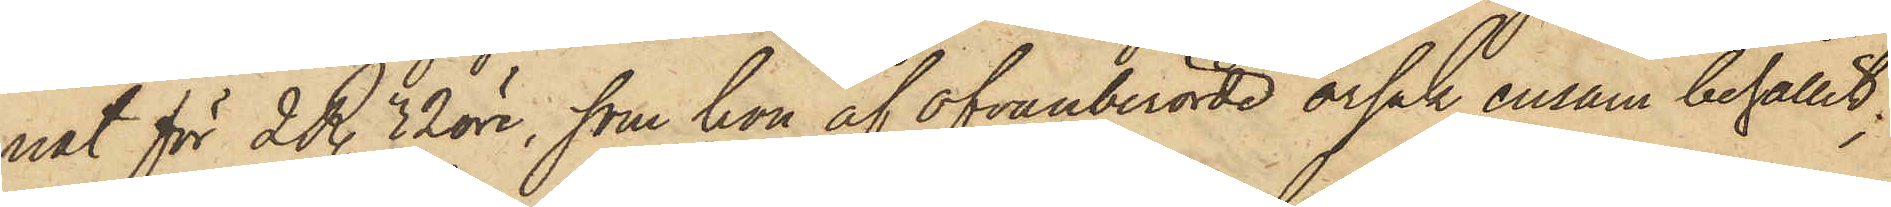nat för 2 R. 32 öre, som hon af ofvanberörde orsak ensam behållit;
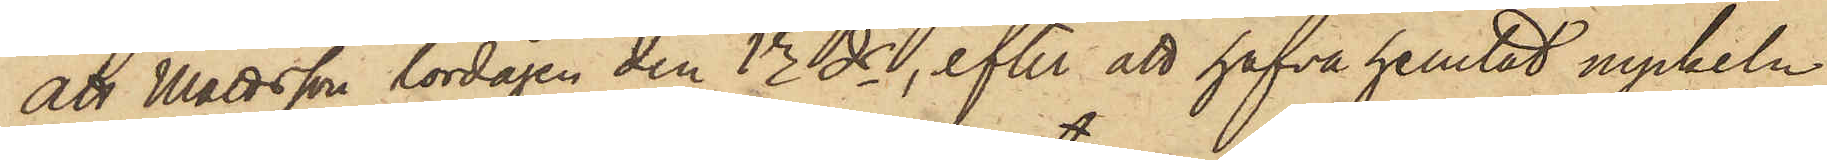att Mattsson lördagen den 13 ds, efter att hafva hemtat nyckeln
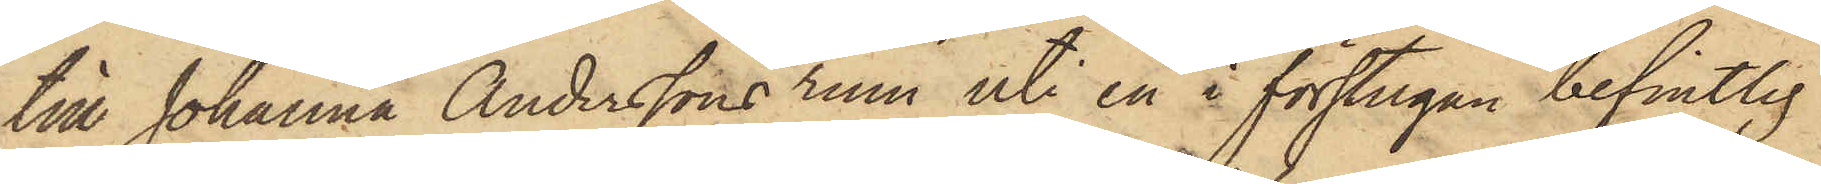till Johanna Anderssons rum uti en å förstugan befintlig
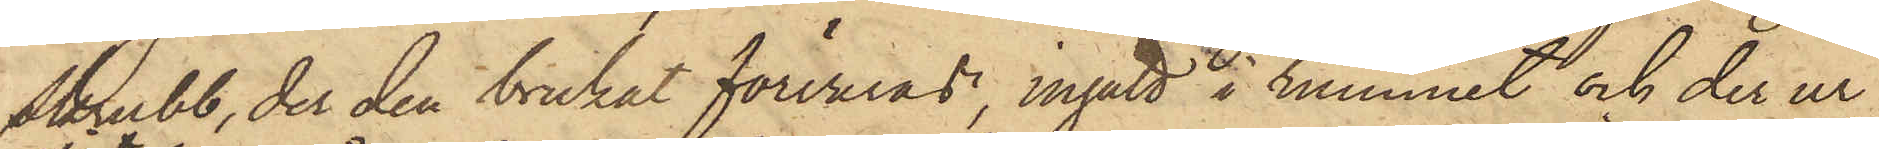skrubb, der den brukat förvaras, ingått i rummet och der ur
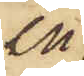en
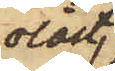olåst
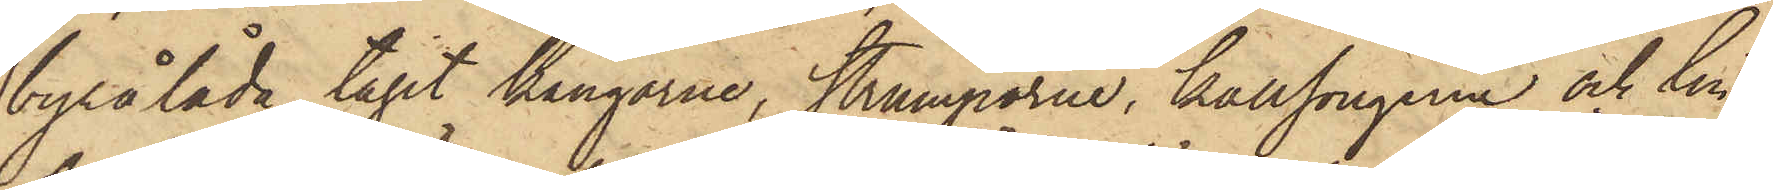byrålåda tagit kängorne, strumporne, kallsongerne och lin¬
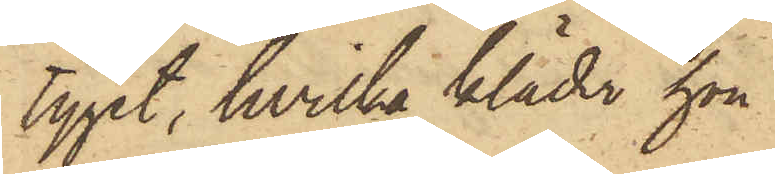tyget, hvilka kläder hon
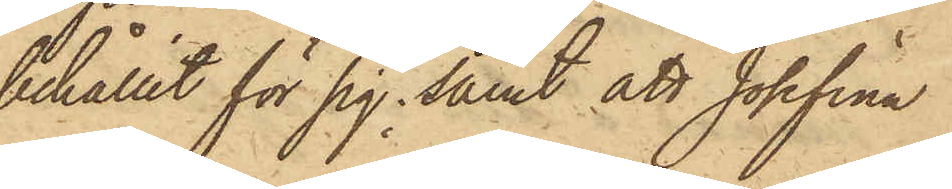behållit för sig; samt att Josefina
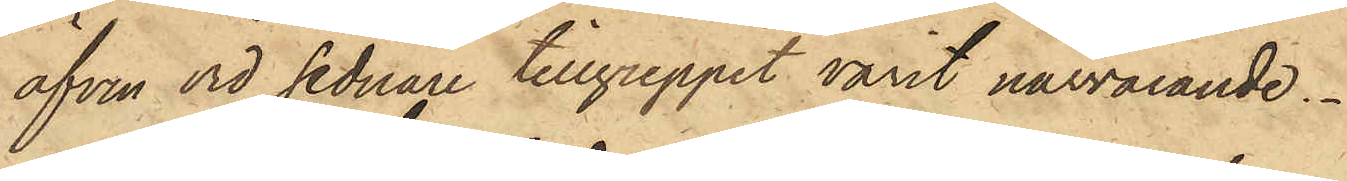äfven vid sednare tillgreppet varit närvarande.
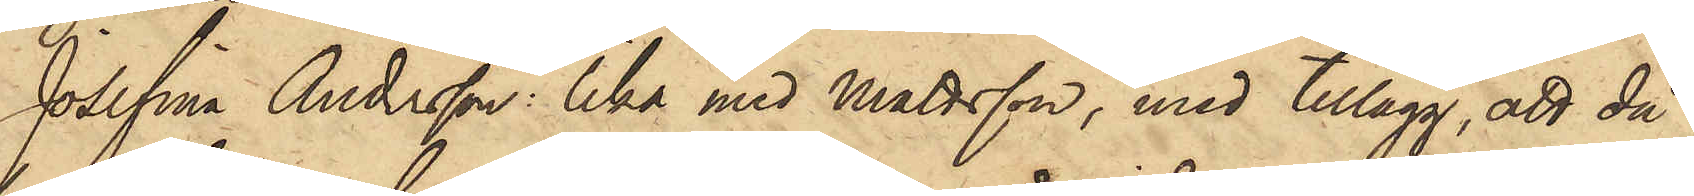Josefina Andersson: lika med Mattsson, med tillägg, att då
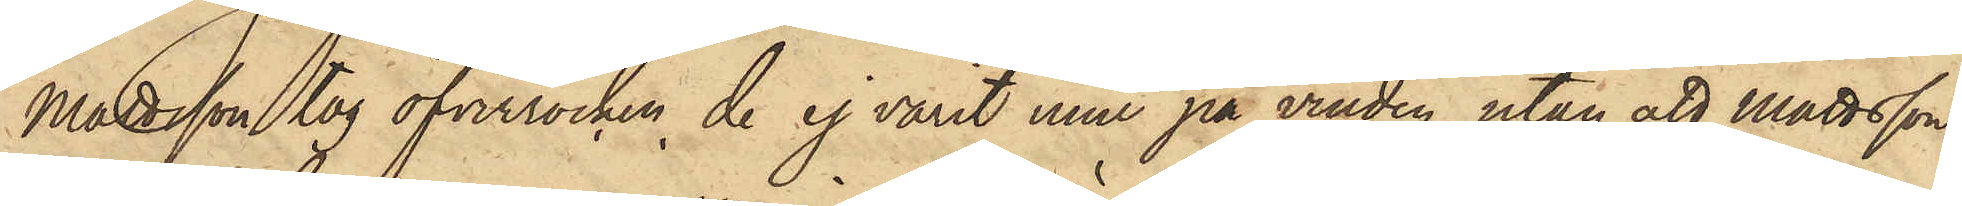Mattsson tog öfverrocken, de ej varit inne på vinden, utan att Mattsson
